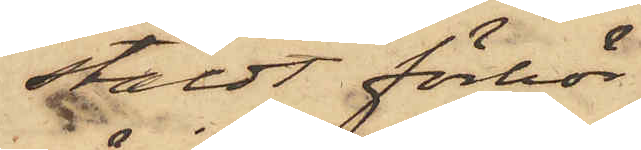stäldt förhör
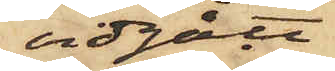vidgått
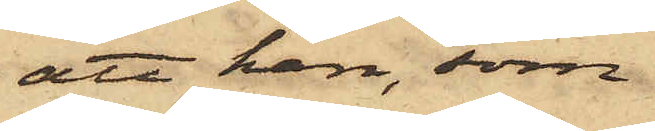att han, som
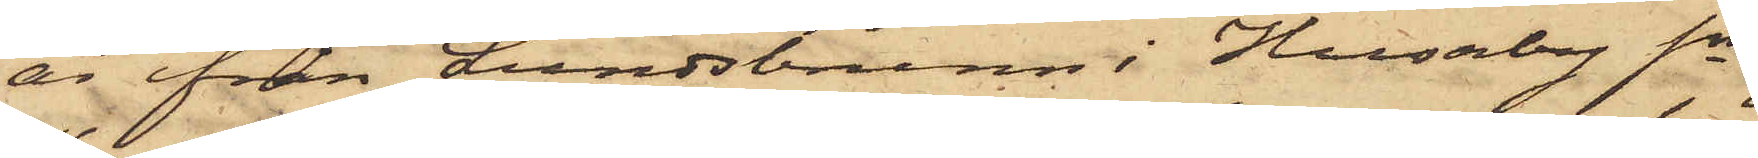är från Lundsbrunn i Husaby Sn
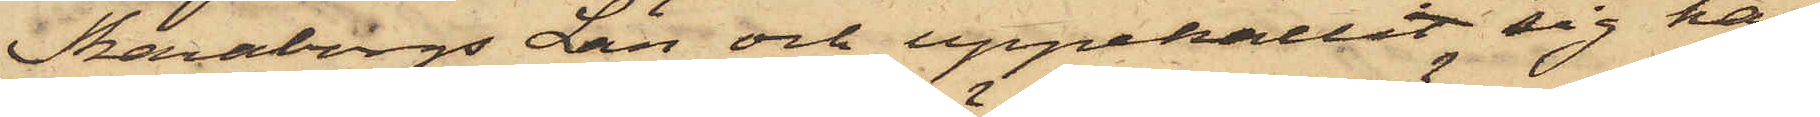Skaraborgs Län och uppehållit sig här
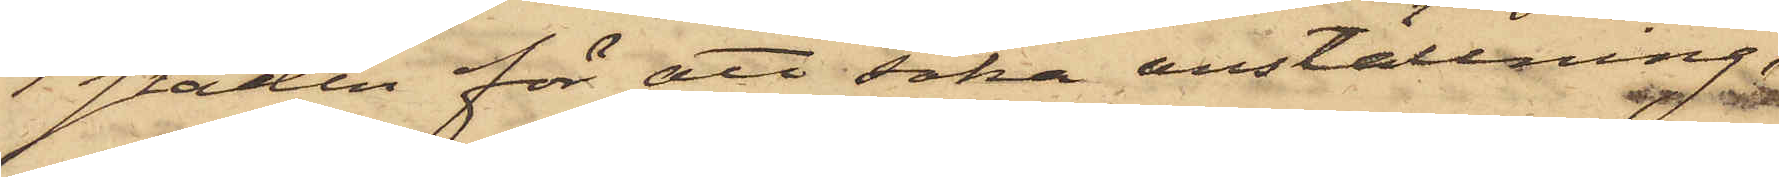i staden för att söka anställning,
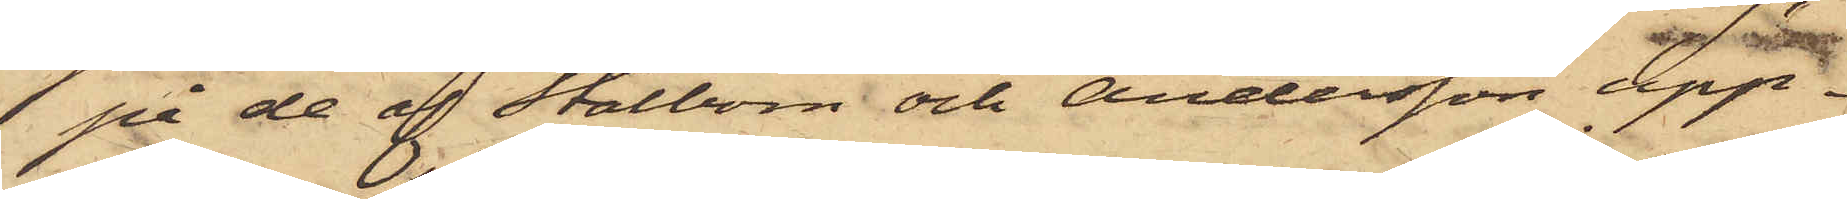på de af Stålbom och Andersson upp¬
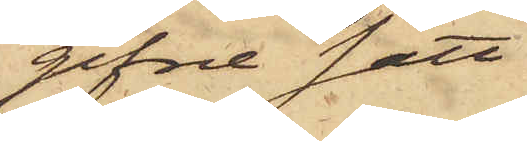gifne satt
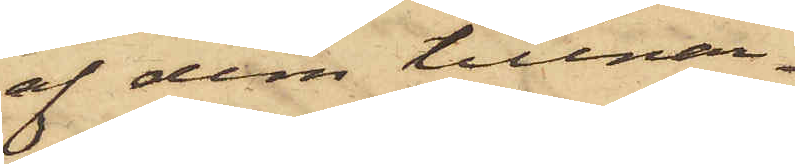af dem tillnar¬
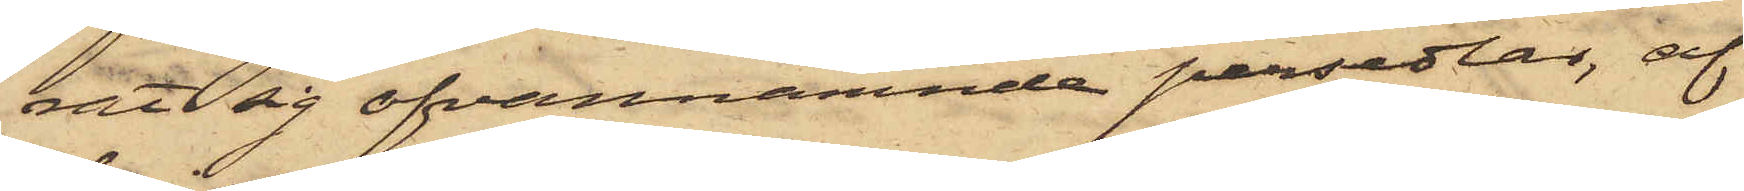rat sig ofvannämnde persedlar, af
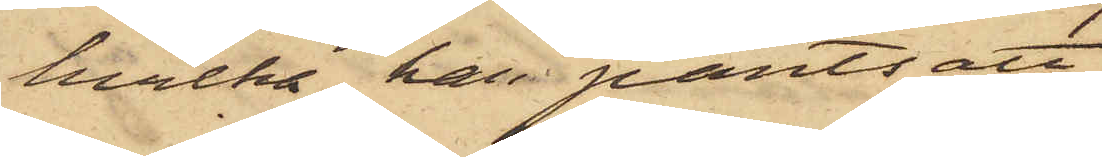hvilka han pantsatt
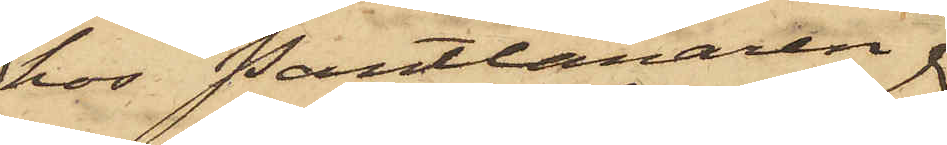hos Pantlånaren
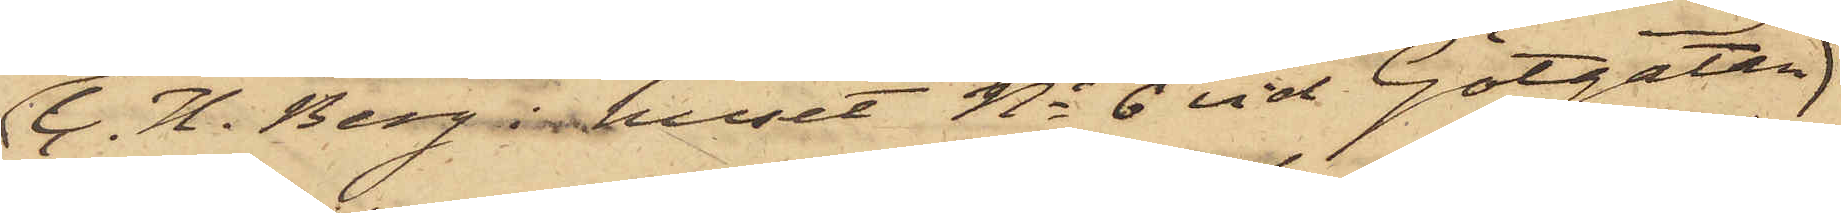C. H. Berg i huset No 6 vid Götgatan
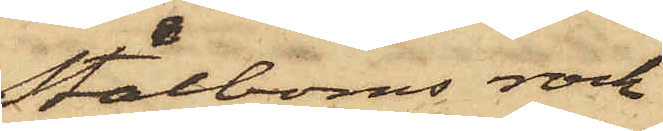Stålboms rock
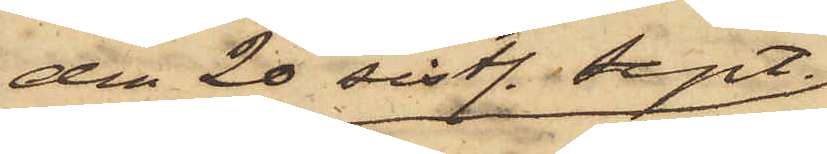den 20 sistl. Sept.
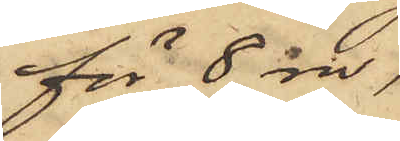för 8 rdr,
